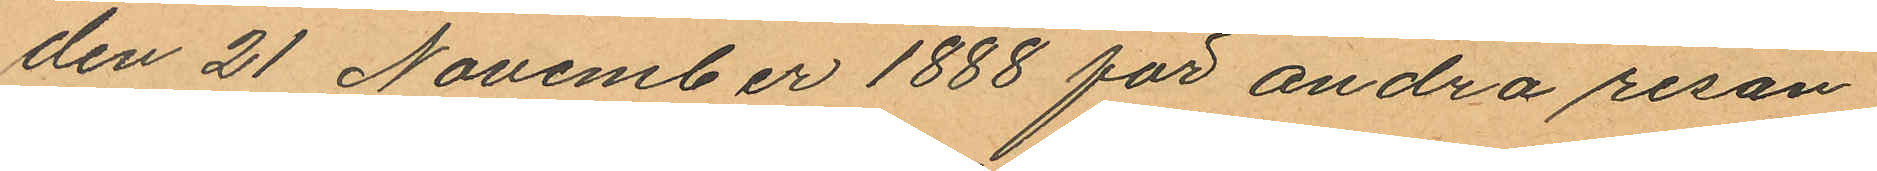den 21 November 1888 för andra resan
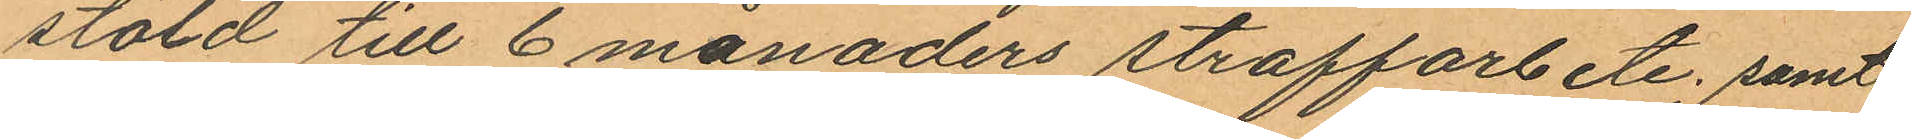stöld till 6 månaders straffarbete; samt
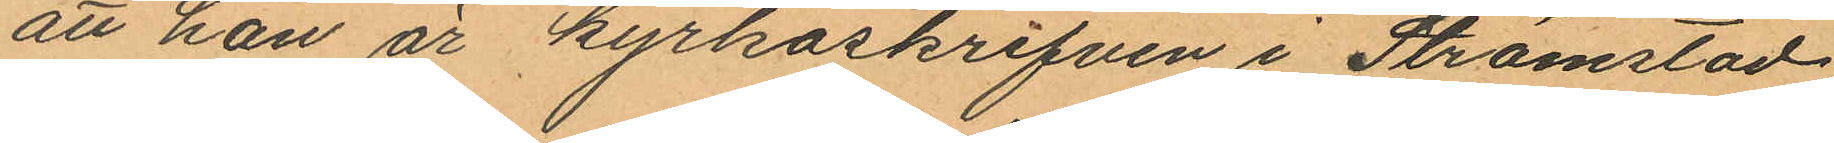att han är kyrkoskrifven i Strömstad.
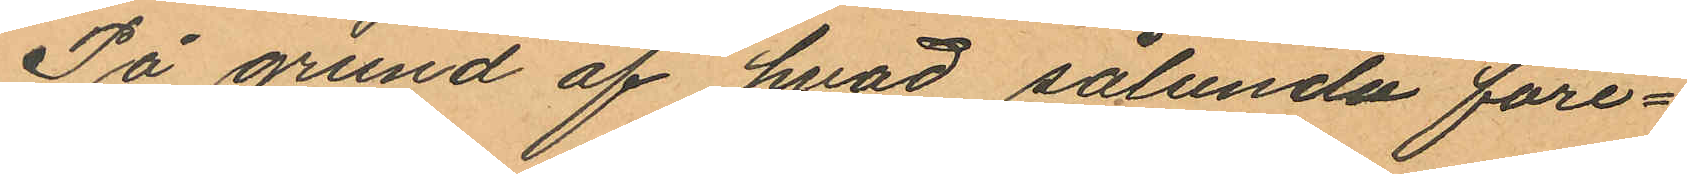På grund af hvad sålunda före¬
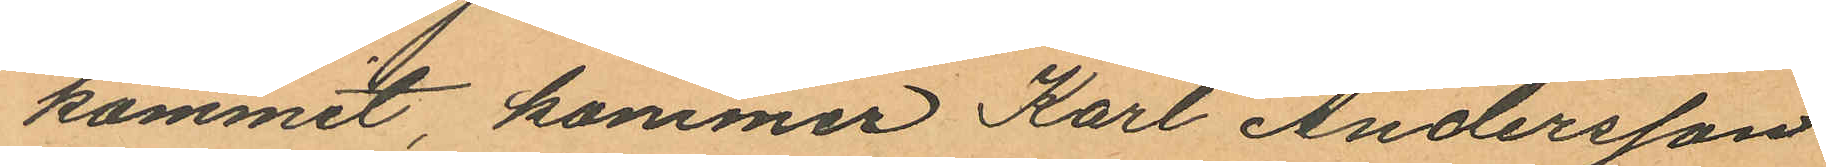kommit, kommer Karl Andersson
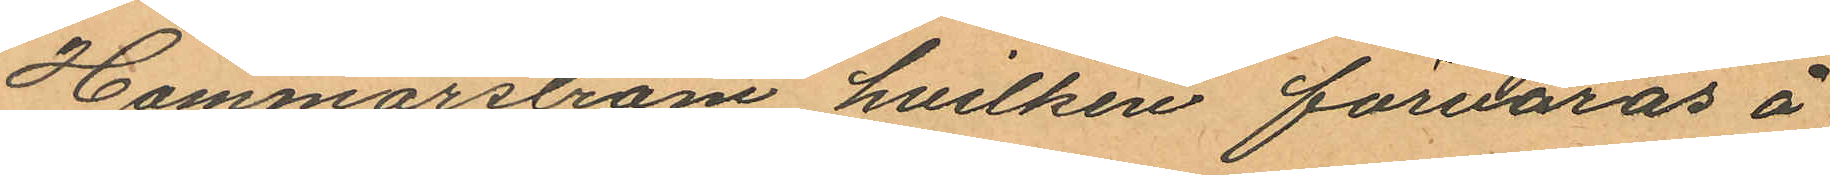Hammarström hvilken förvaras å
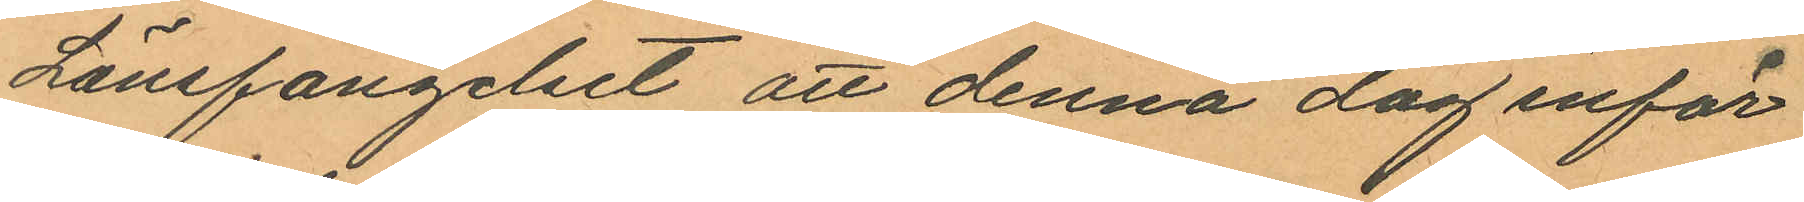Länsfängelset att denna dag inför
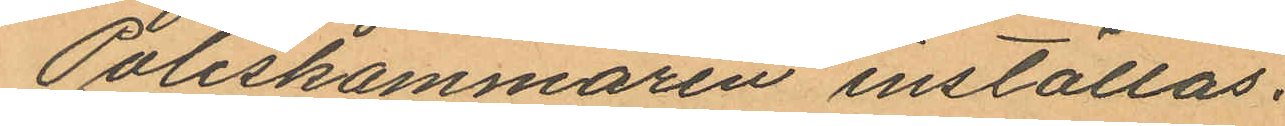Poliskammaren inställas.
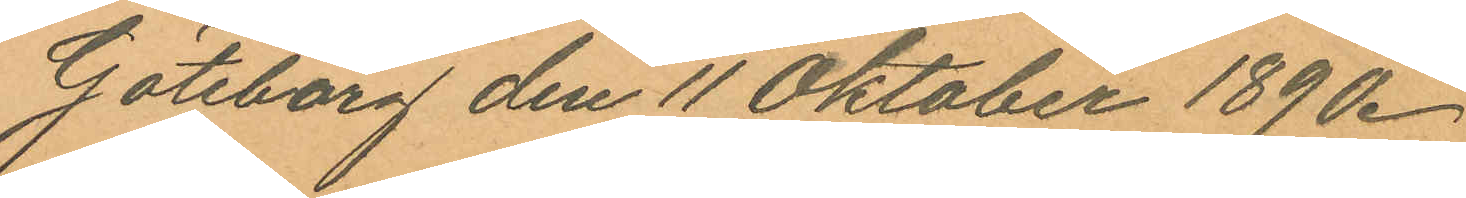Göteborg den 11 Oktober 1890.
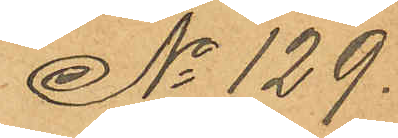No 129.
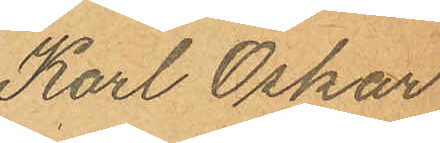Karl Oskar
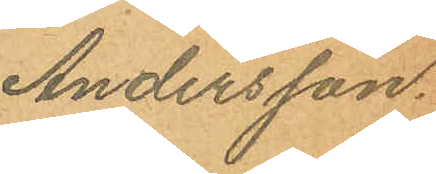Andersson.
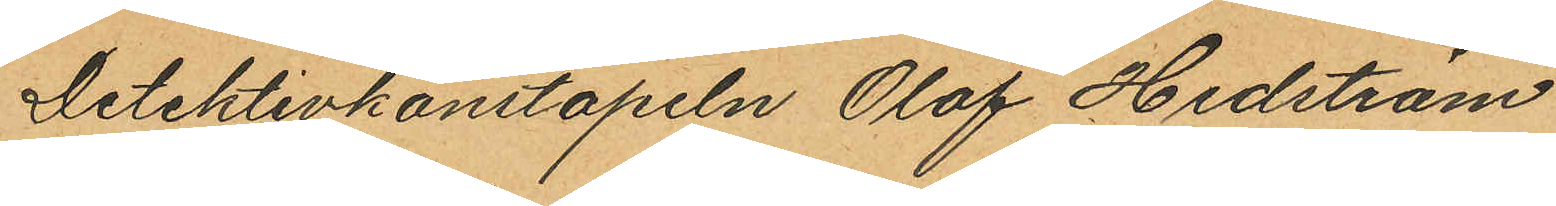Detektivkonstapeln Olof Hedström
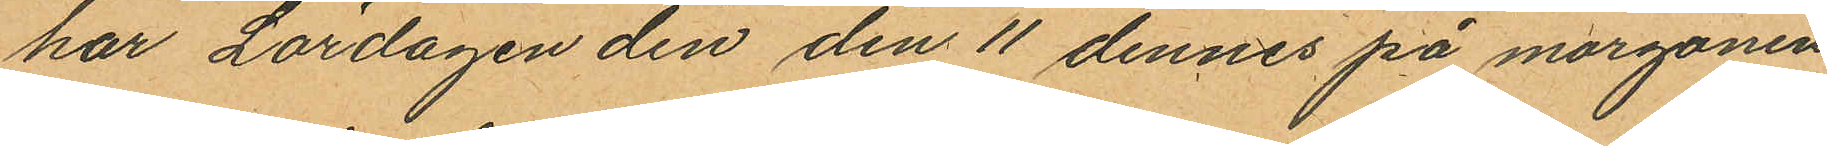har Lördagen den den 11 dennes på morgonen
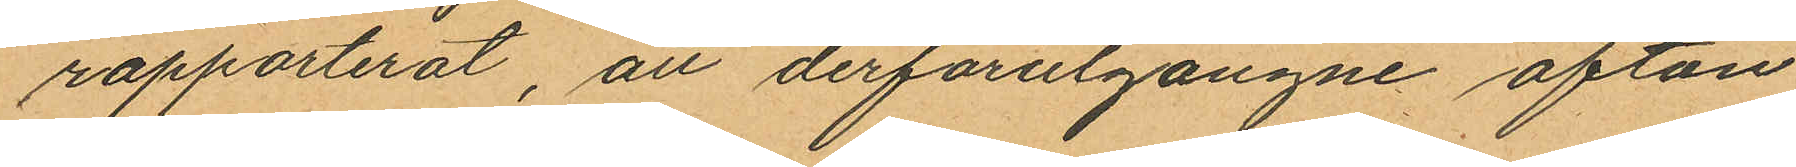rapporterat, att derförutgångne afton
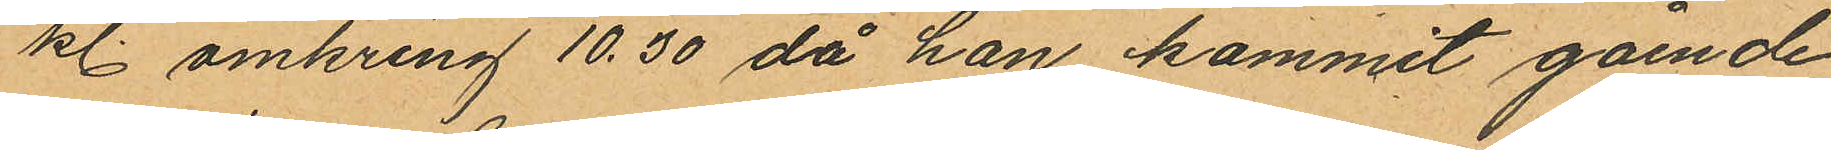kl. omkring 10.30 då han kommit gående
